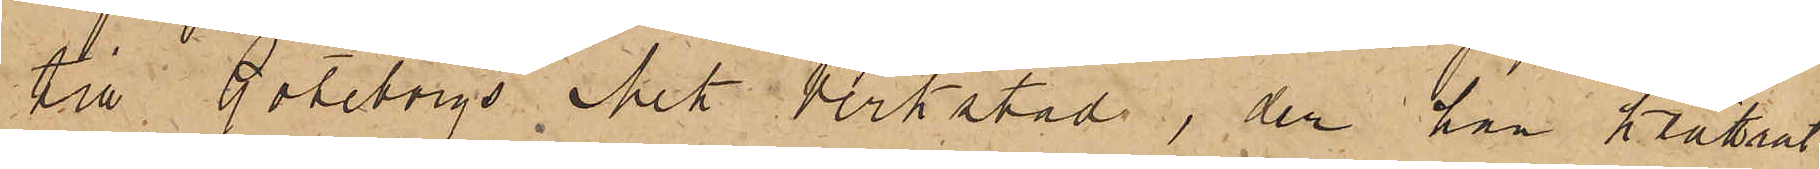till Göteborgs Mek Verkstad, der han klättrat
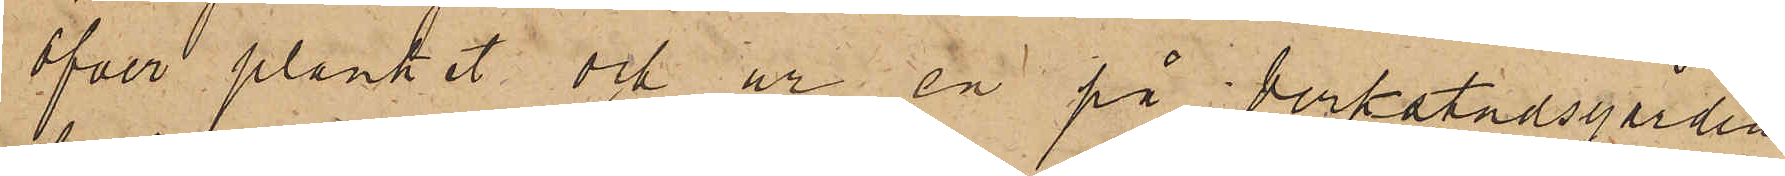öfver planket och ur en på Verkstadsgården
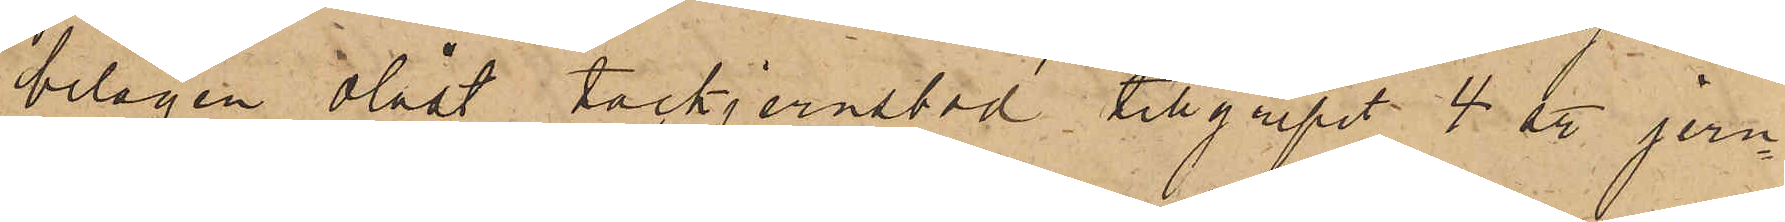belägen olåst tackjernsbod tillgripit 4 st jern¬
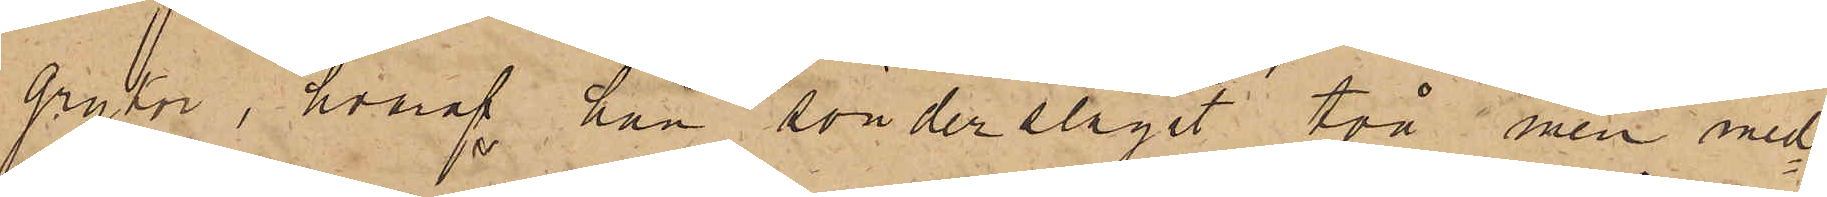grytor, hvaraf han sönderslagit två men med¬
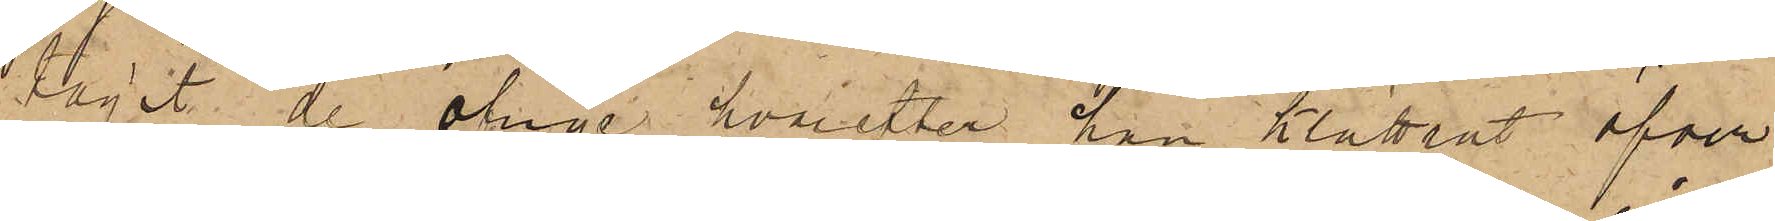tagit de öfrige hvarefter han klättrat öfver
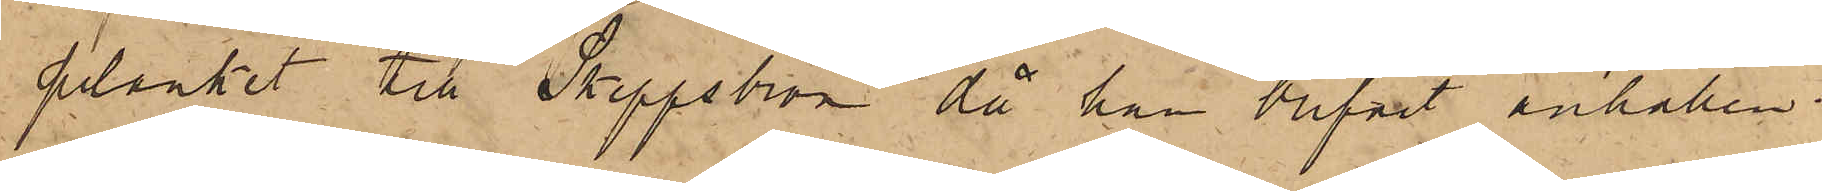planket till Skeppsbron då han blifvit anhållen.
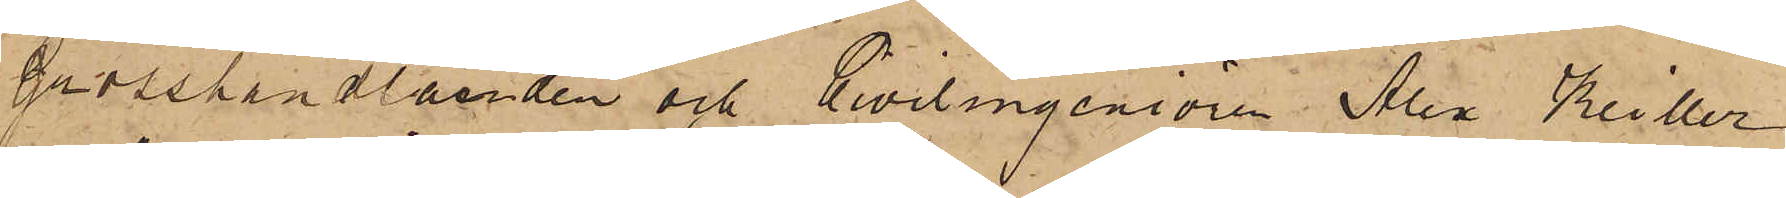Grosshandlanden och Civilingeniören Alex Keiller
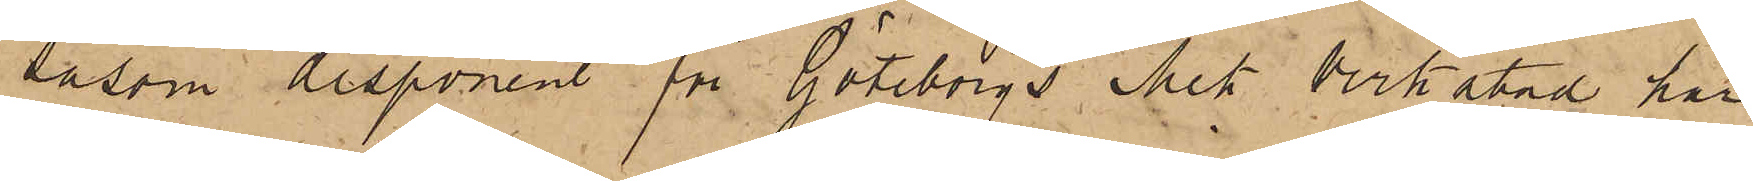såsom disponent för Göteborgs Mek Verkstad har
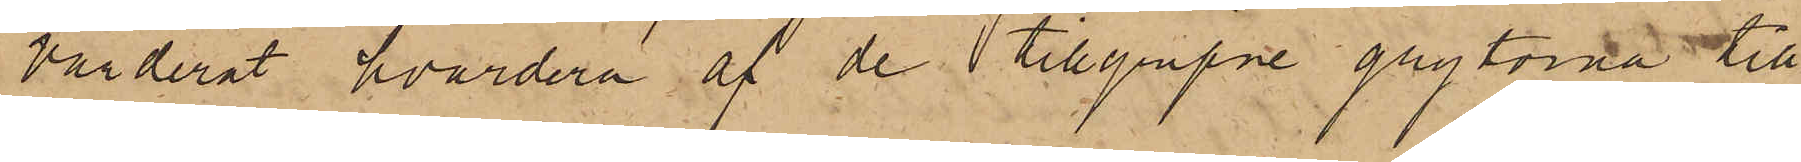värderat hvardera af de tillgripne grytorna till
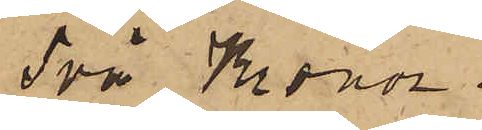Två Kronor.
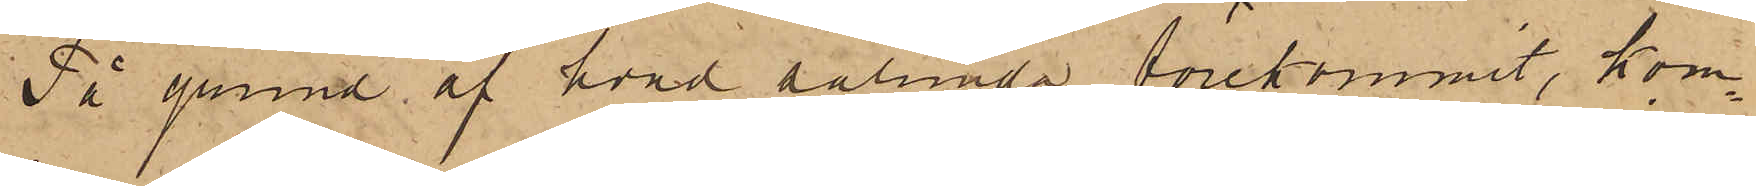På grund af hvad sålunda förekommit, kom¬
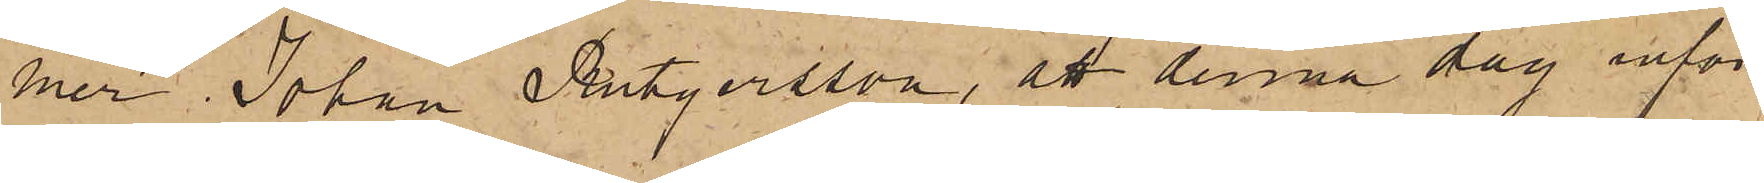mer Johan Rutgersson, att denna dag inför
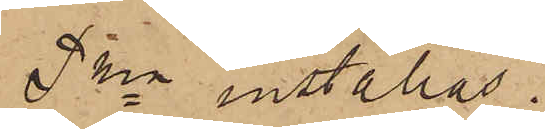Pkn inställas.
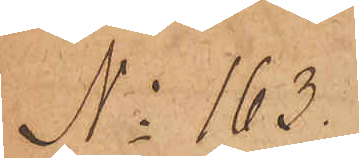No 163.
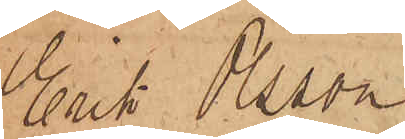Erik Olsson
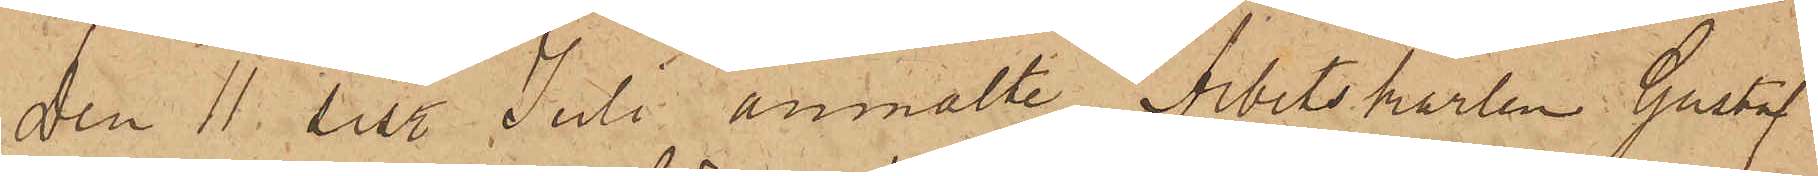Den 11 sist. Juli anmälte Arbetskarlen Gustaf
